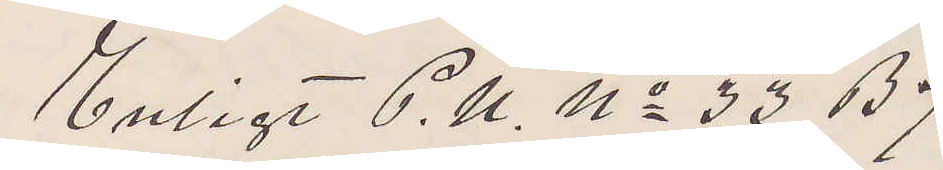Enligt P. U. No 33 B 7
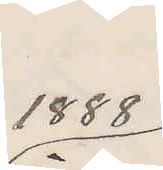1888
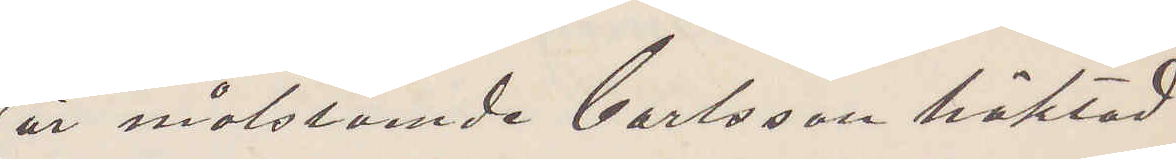är motstående Carlsson häktad
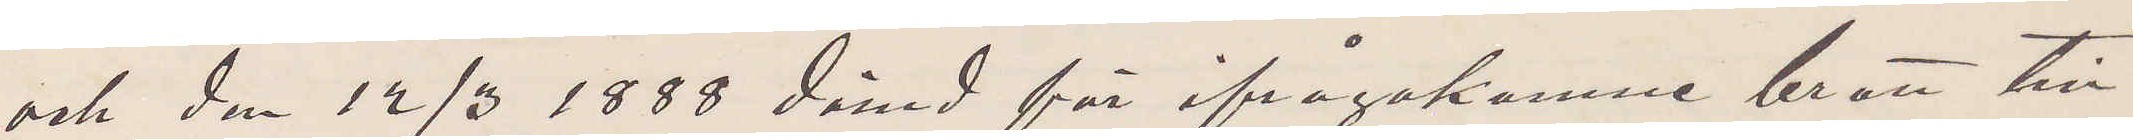och den 12/3 1888 dömd för ifrågakomne brott till
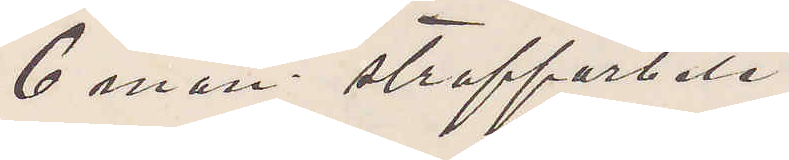6 mån straffarbete
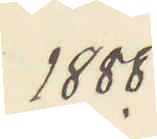1888.
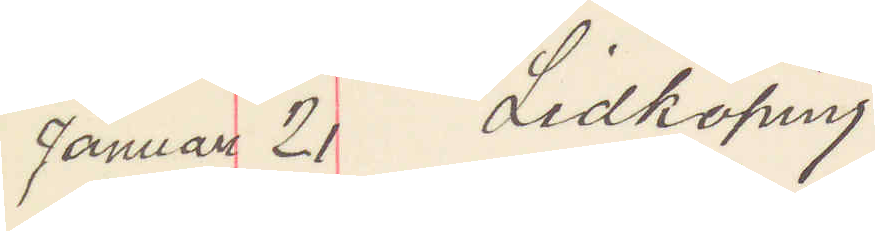Januari 21 Lidköping
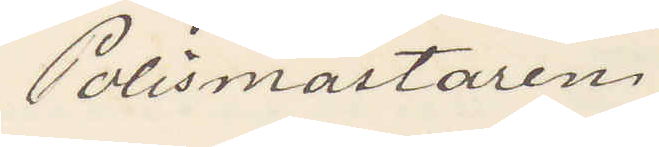Polismästaren.
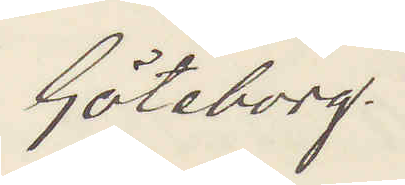Göteborg.
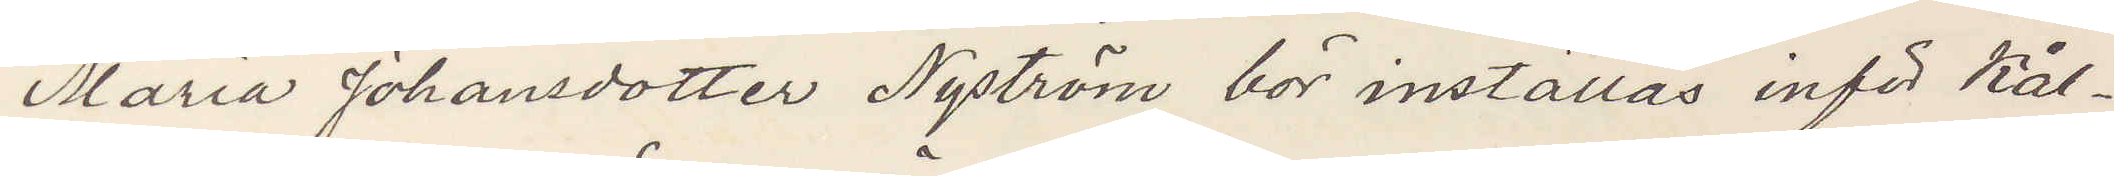Maria Johansdotter Nyström bör inställas inför Kål¬
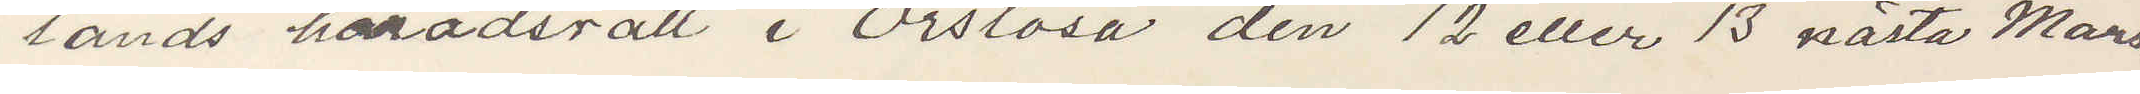lands häradsrätt i Örslösa den 12 eller 13 nästa Mars.
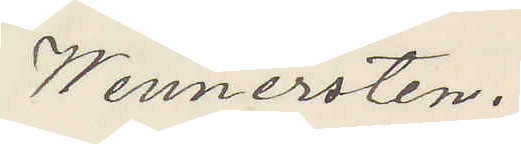Wennersten.
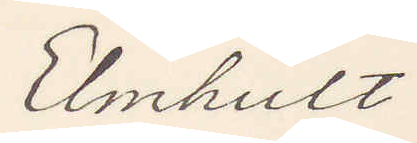Elmhult
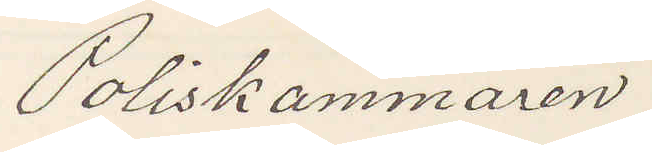Poliskammaren
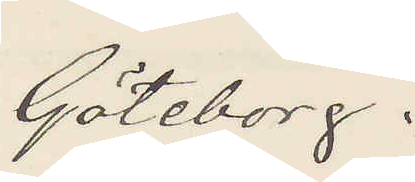Göteborg.
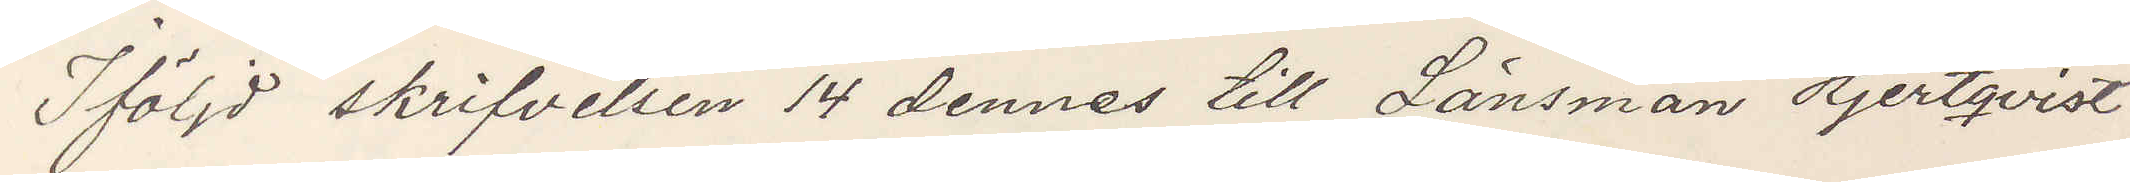Iföljd skrifvelsen 14 dennes till Länsman Hjertqvist
